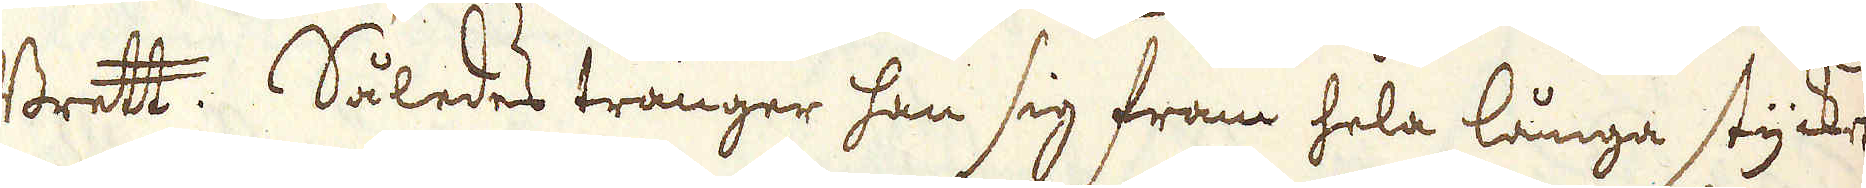Brett. Således tränger han sig fram hela långa stycket
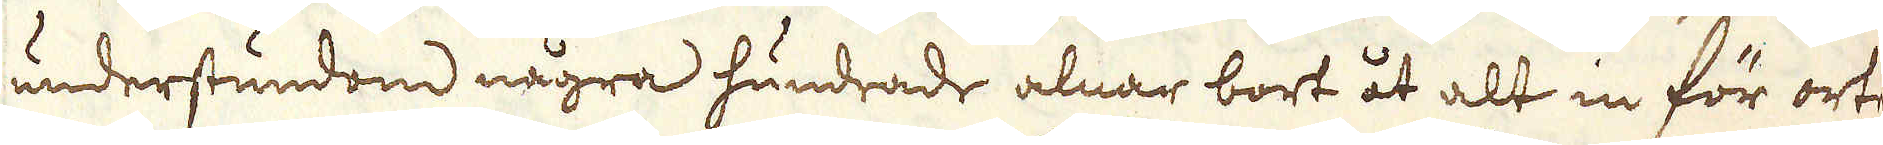understundom några hundrade alnar bort åt alt in för orten
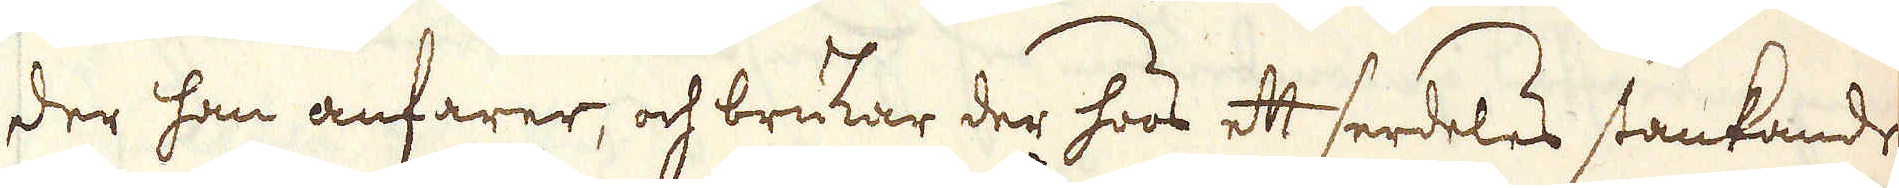der han anfarer, och brukar der hoos ett serdeles stankandes
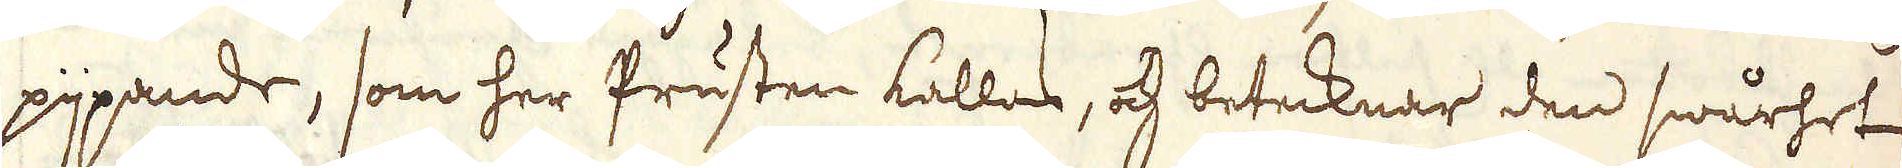pijpande, som her Prusten kallas, och betecknar den swårhet
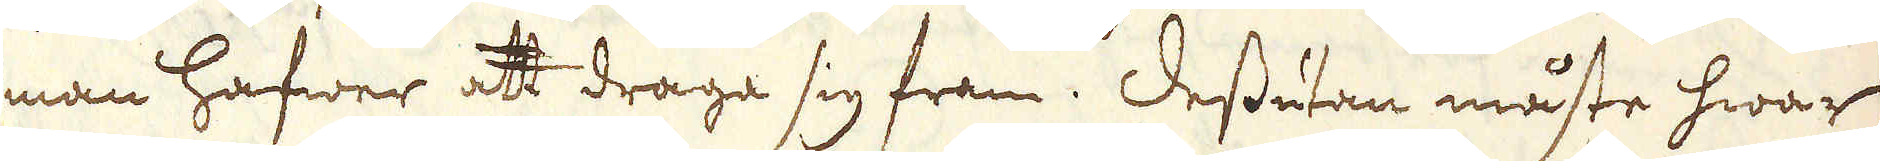man hafwer att draga sig fram. Dessutan måste hwar
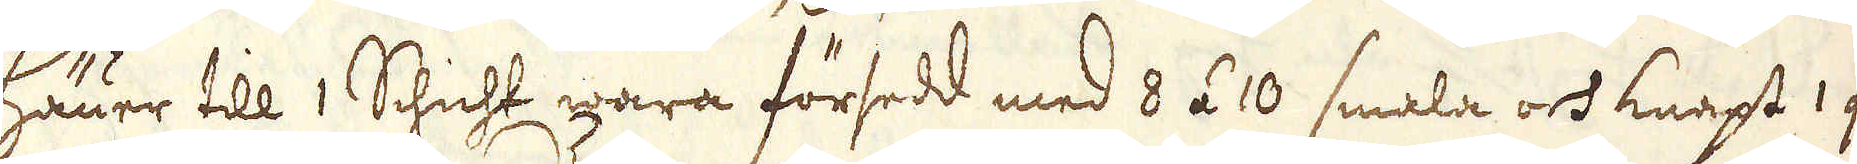Häuer till 1 Schicht wara försedd med 8 á 10 smala och knapt 1 quar-
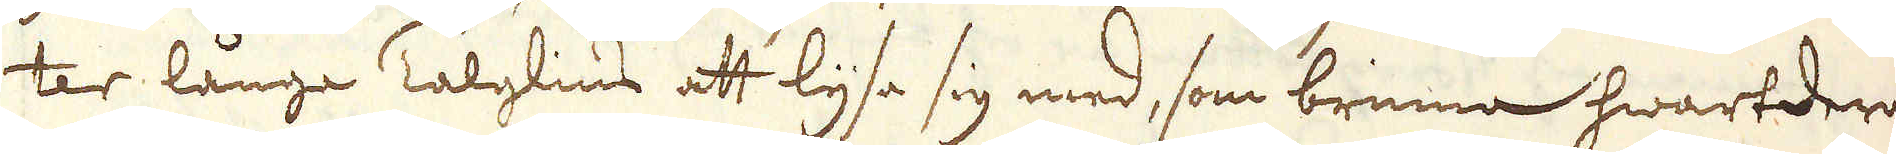ter långa Talglius att lysa sig med, som brinna hwartdera
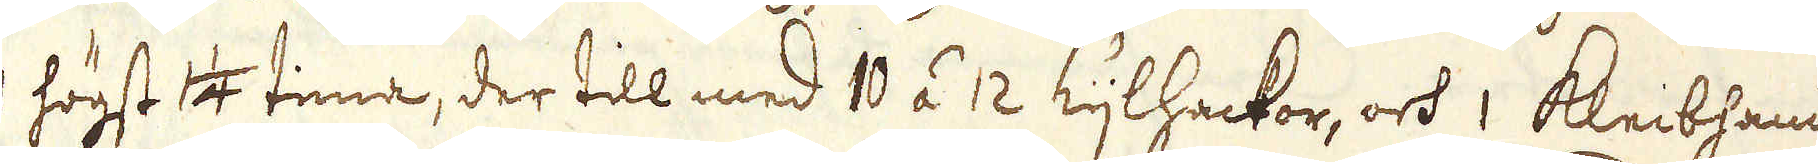1 högst 14 tima, der till med 10 á 12 Kijlhackor, och 1 Kleibhamern
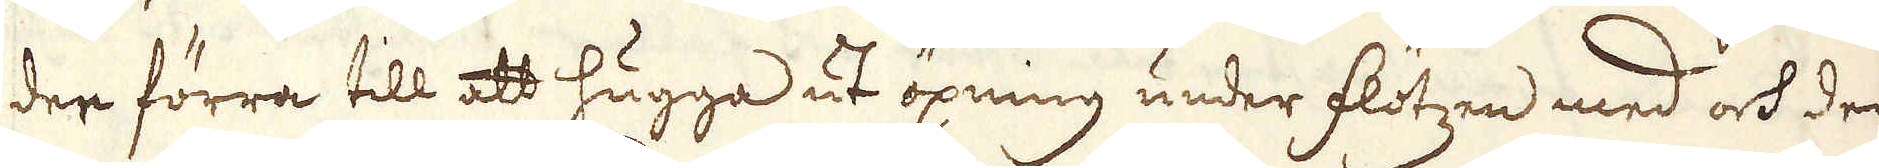der förra till att hugga ut öpning under flötzen med och der
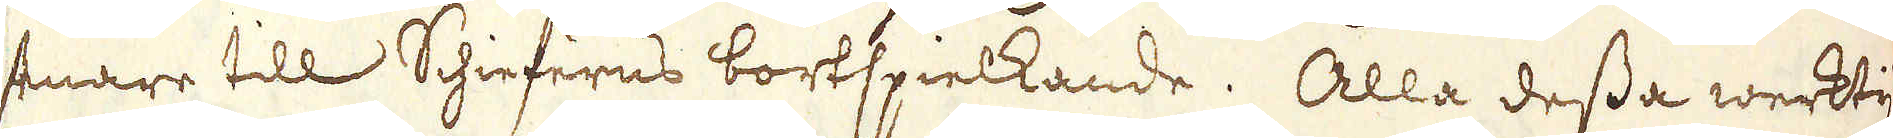senare till Schieferns bortspielkande. Alla dessa werktyg
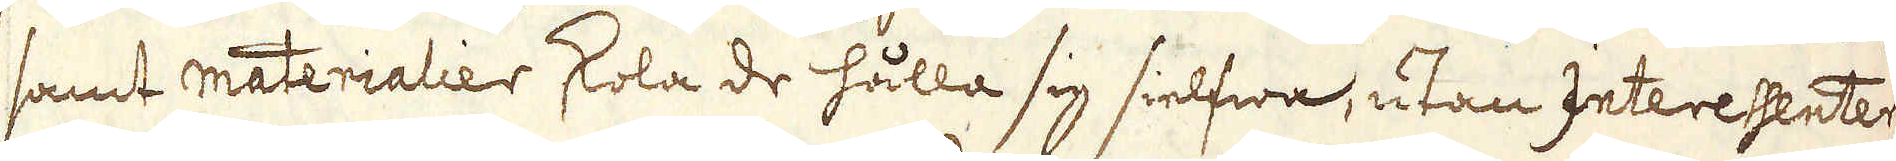samt materialier skola de hålla sig sielfwa, utan Interessenter-
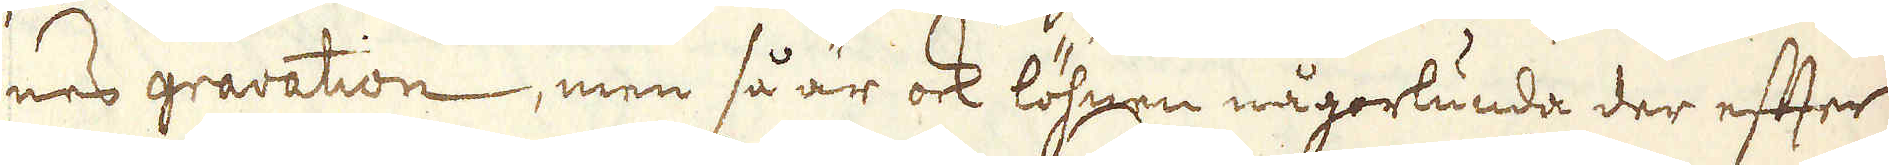nes gravation, men så är ock löhnen någorlunda der efter
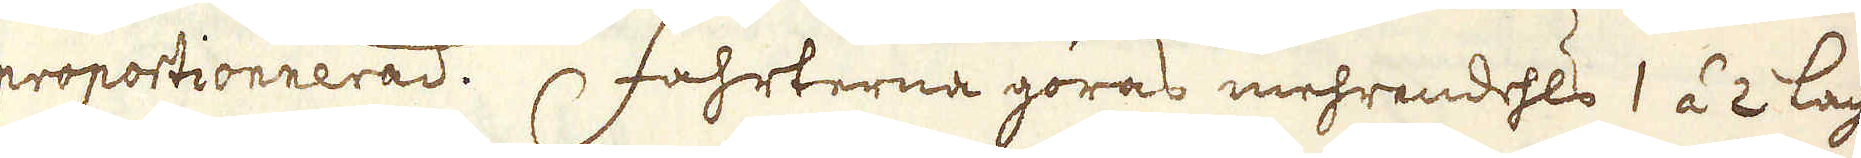proportionnerad. Fahrterna göras mehrendehls 1 á 2 lacht:
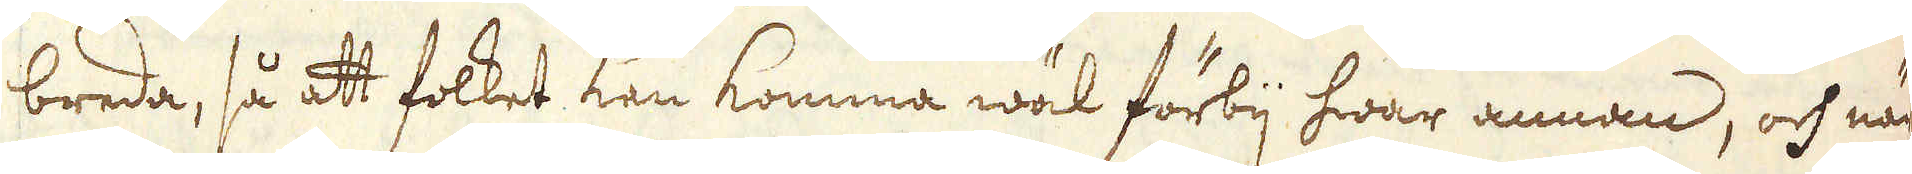breda, så att folket kan komma wäl förbij hwar annan, och när
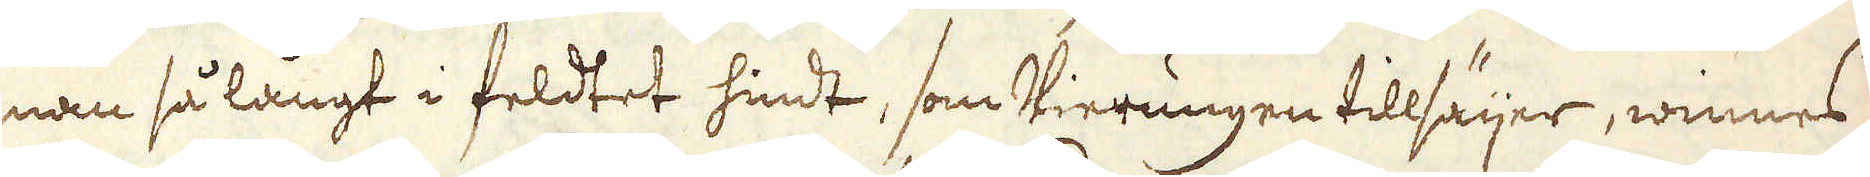man så långt i feldtet hindt, som Vierungen tillsäijer, winnes
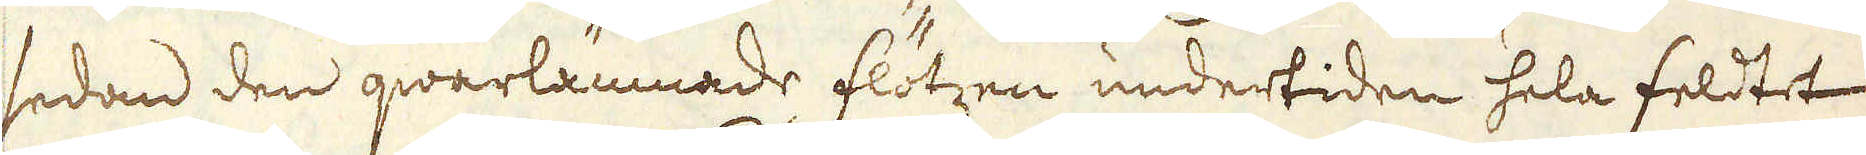sedan den qwarlämnade flötzen undertiden hela feldtet
